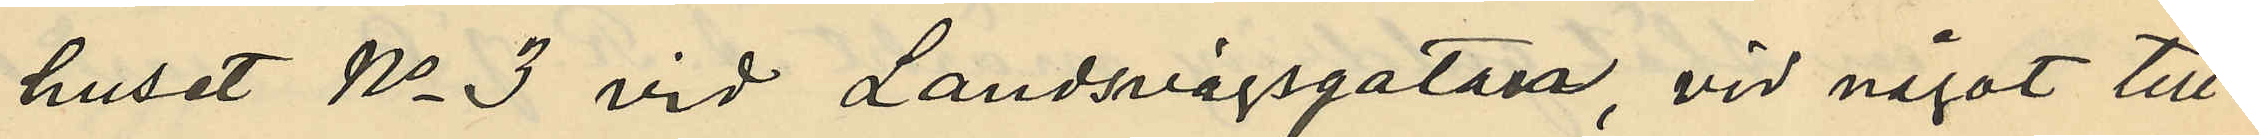huset No 3 vid Landsvägsgatan, vid något till¬
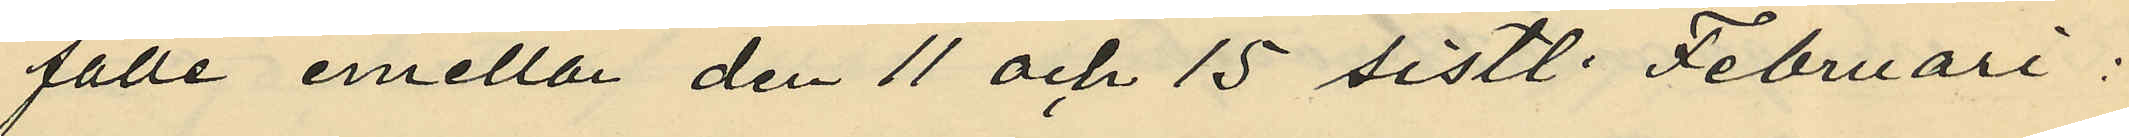fälle emellan den 11 och 15 sistl. Februari:
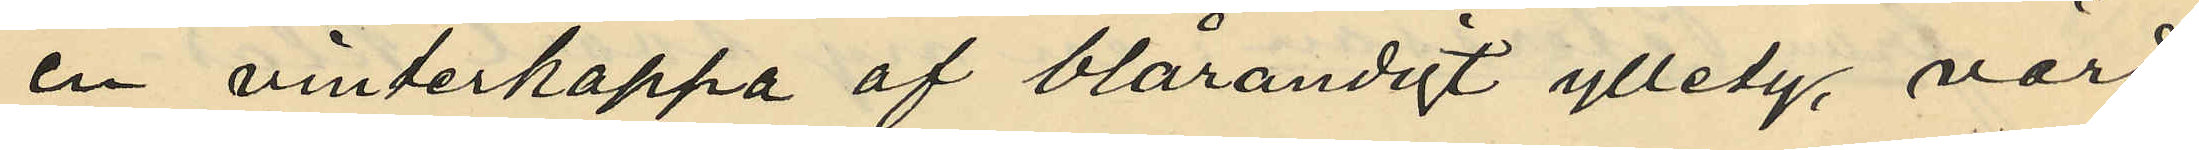en vinterkappa af blårandigt ylletyg, värd
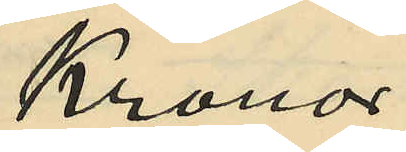Kronor
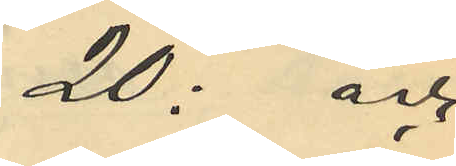20: och
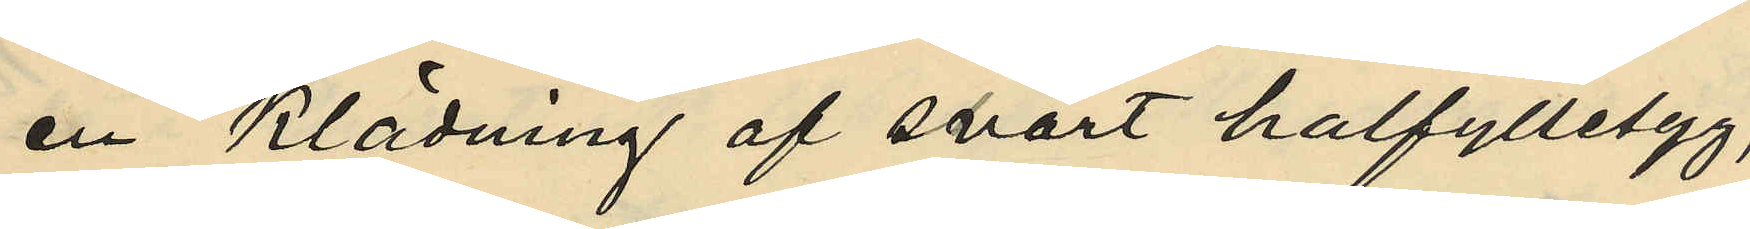en klädning af svart halfylletyg,
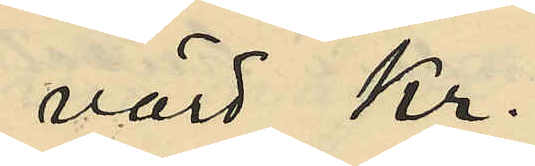värd Kr.
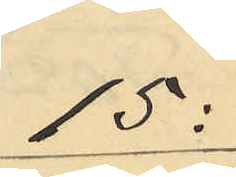15:
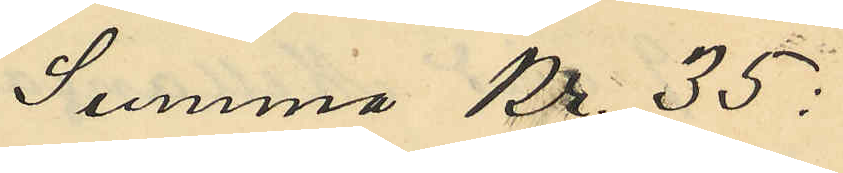Summa Kr 35:
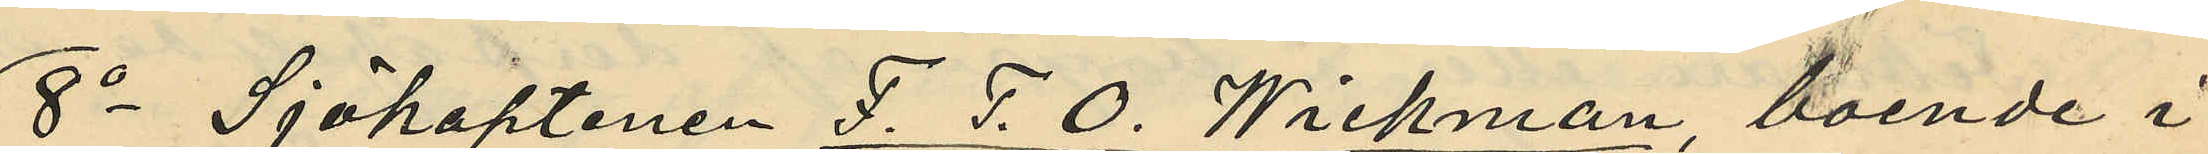8o Sjökaptenen J. P. O. Wickman, boende i
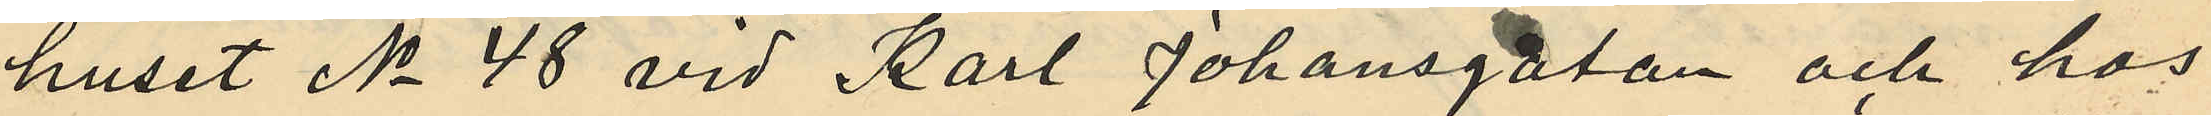huset No 48 vid Karl Johansgatan och hos
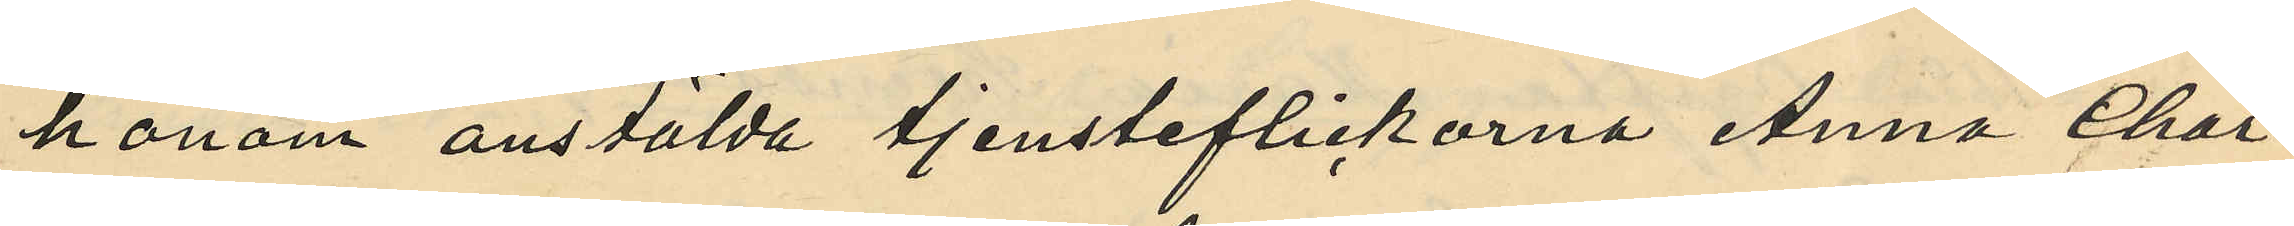honom anstälda tjensteflickorna Anna Char¬
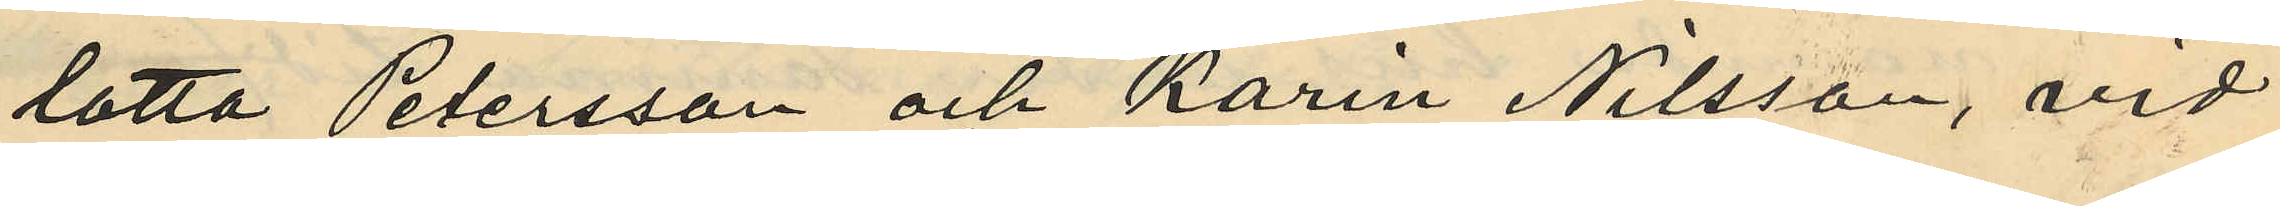lotta Petersson och Karin Nilsson, vid
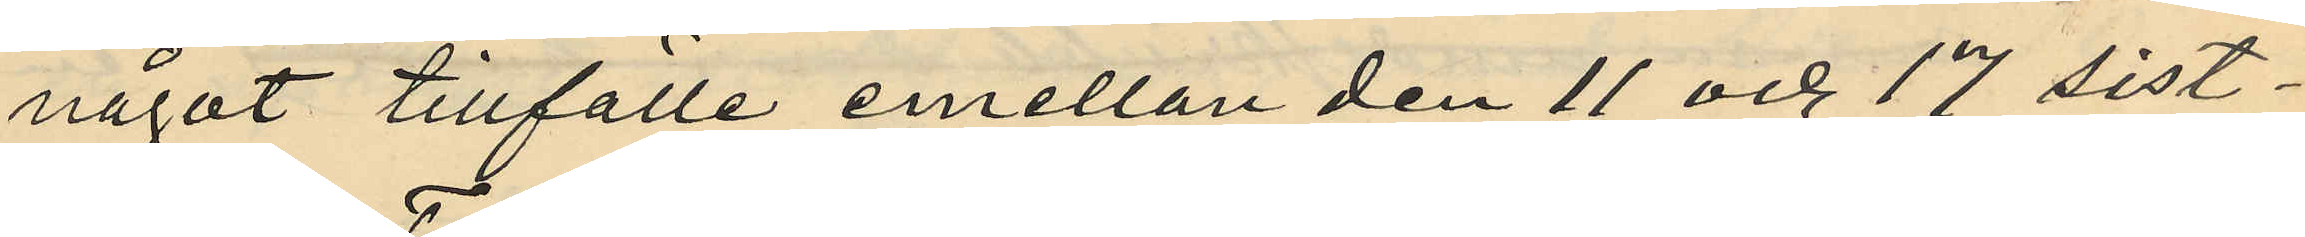något tillfälle emellan den 11 och 17 sist¬
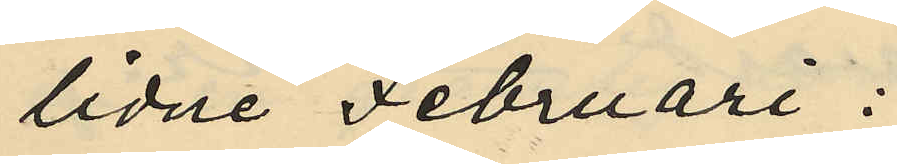lidne Februari;
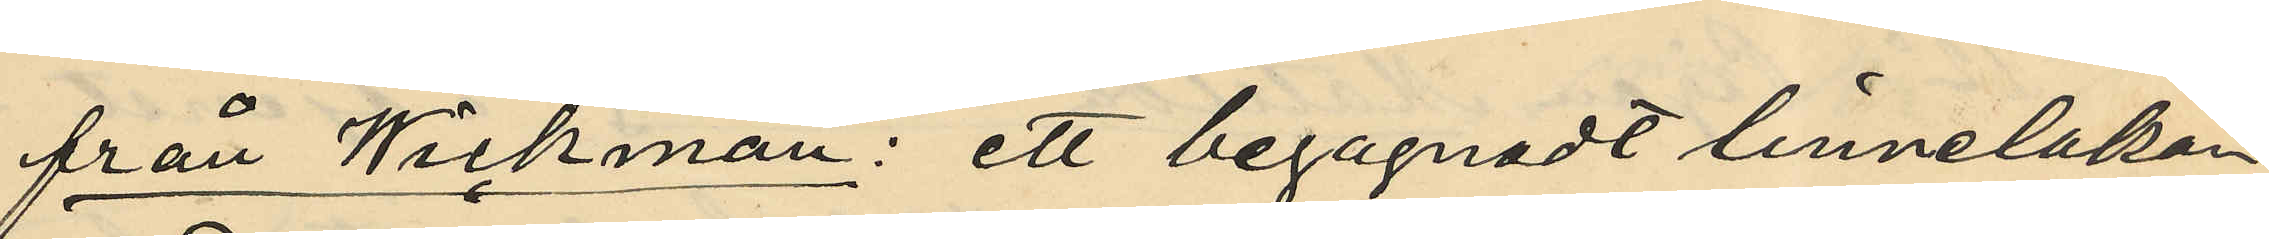från Wickman: ett begagnadt linnelakan
